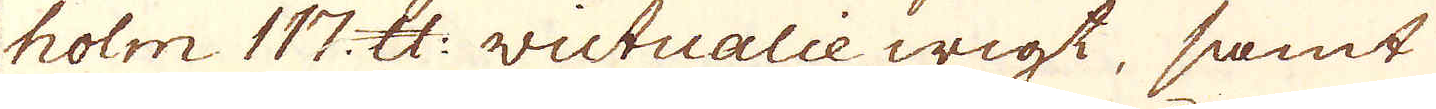holm 117 skålpund victualie wigt, samt
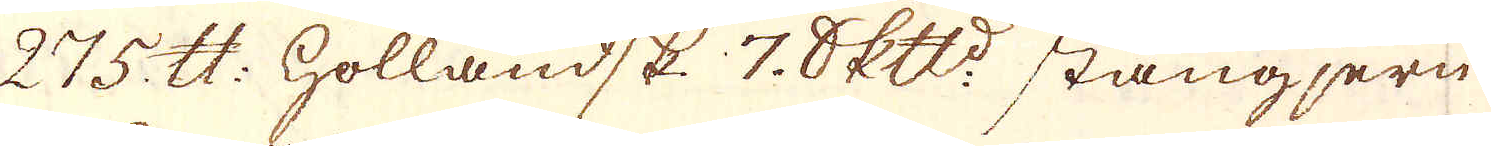275. skålpund Holländsk 7. Skeppund stångjern
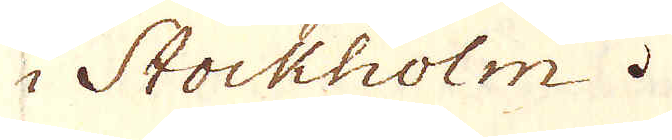i Stockholm.
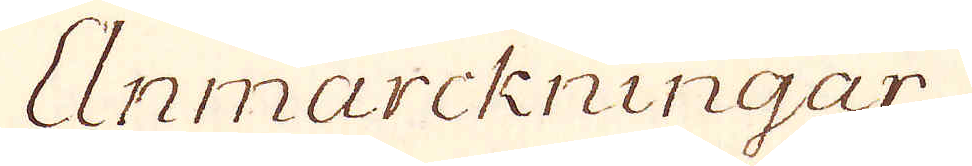Anmärckningar
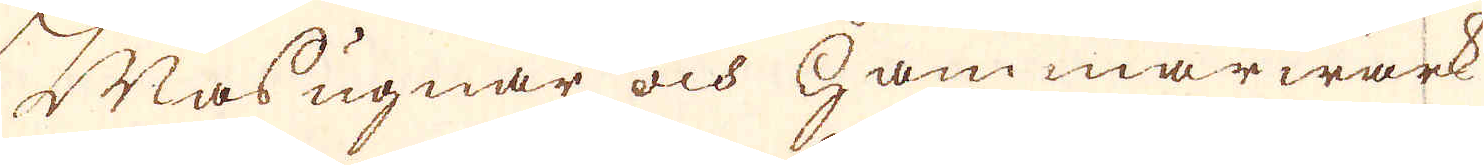Masugnar och Hammarwärk
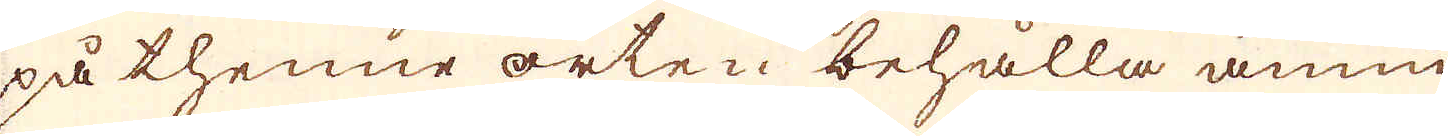på thenne orten behålla ännu
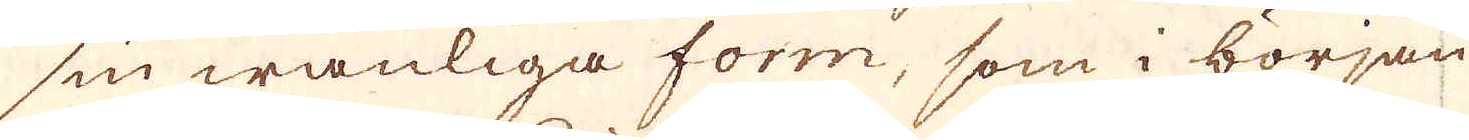sin wanliga form, som i början
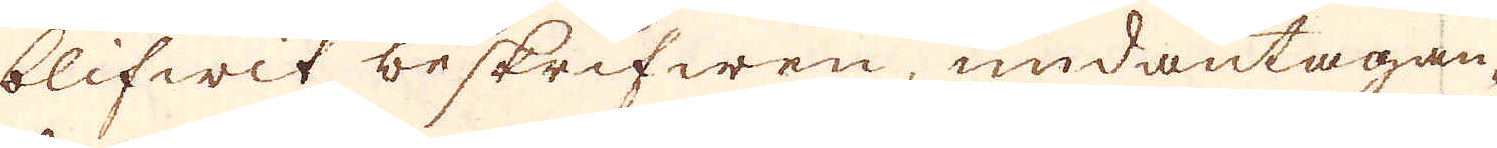blifwit beskrifwen, undantagan-
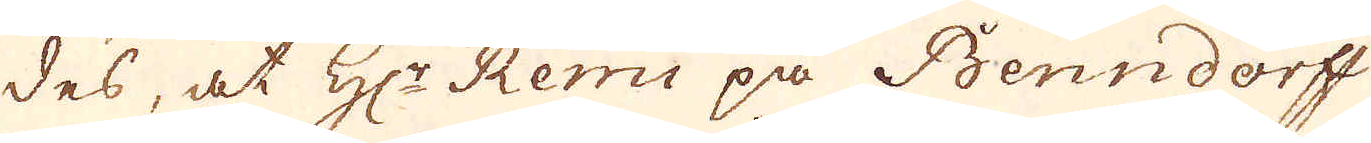des, at H:r Remi på Benndorff,
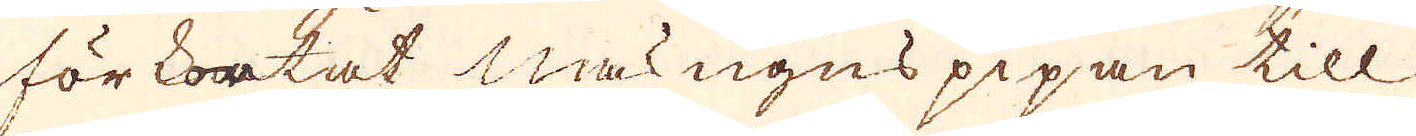förkortat masungns pipan till
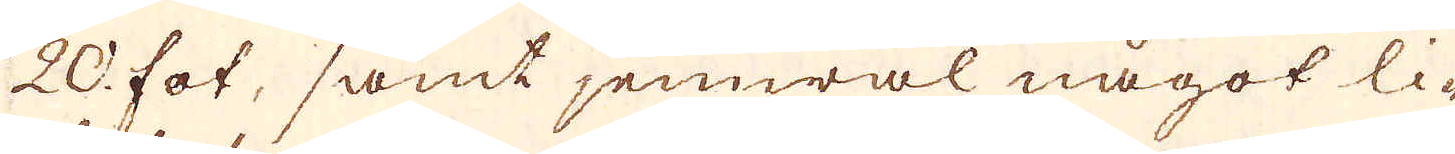20 fot, samt jemwäl något li-
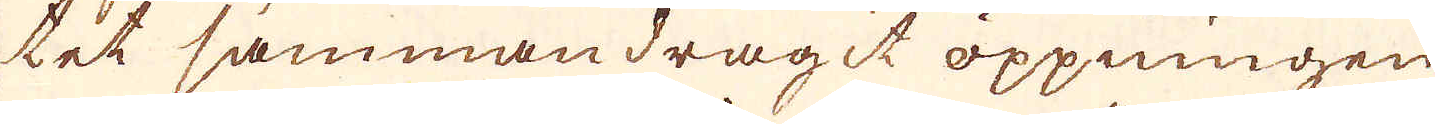tet sammandragit öppningen
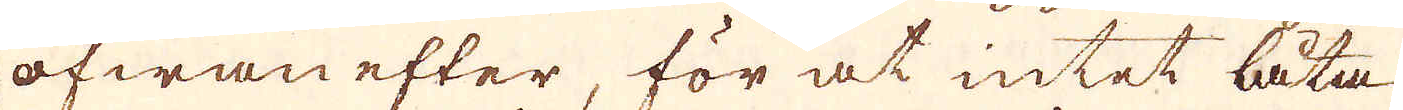ofwan efter, för at intet låta
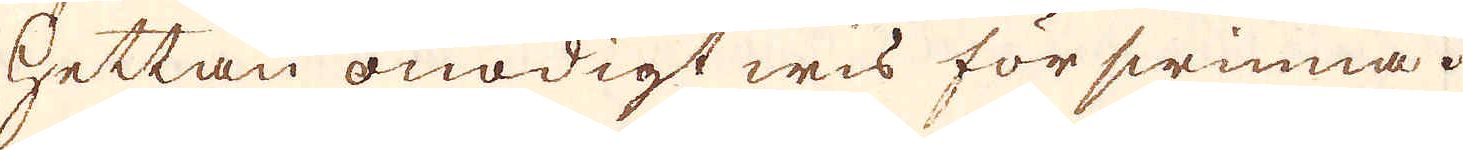hettan onödigt wis förswinna.
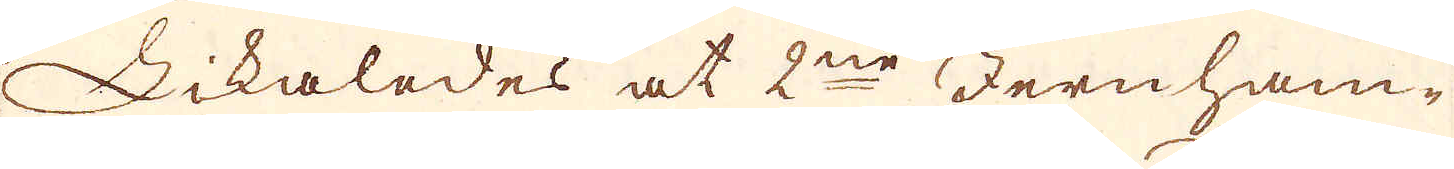Likaledes at 2ne Jernham-
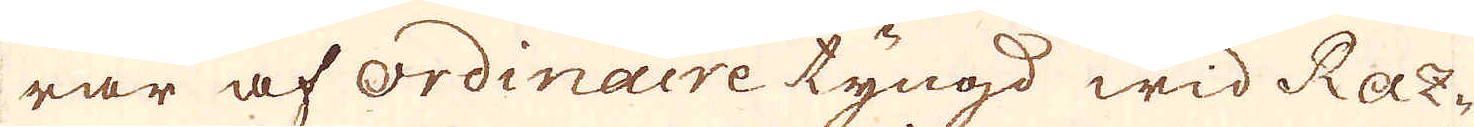rar af ordinaire tyngd wid Raz-
